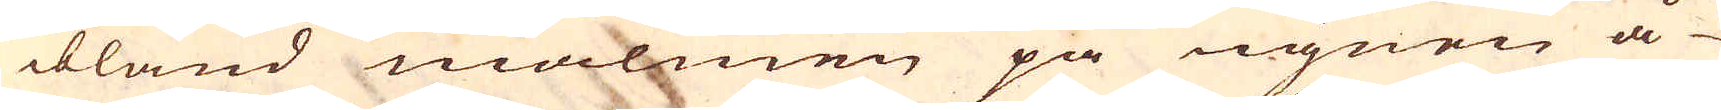ibland malmen på ugnen å-
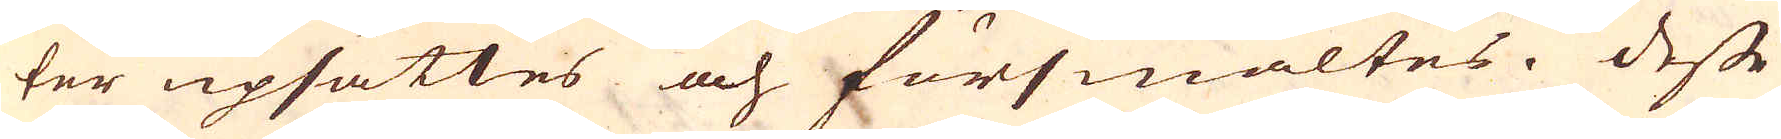ter upsättes och försmältes. Desse
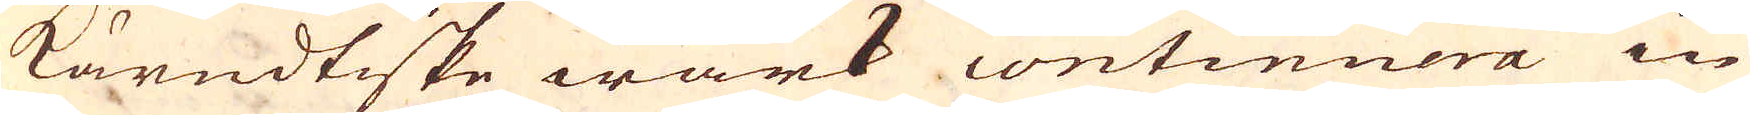kärndtiske wärk continuera in
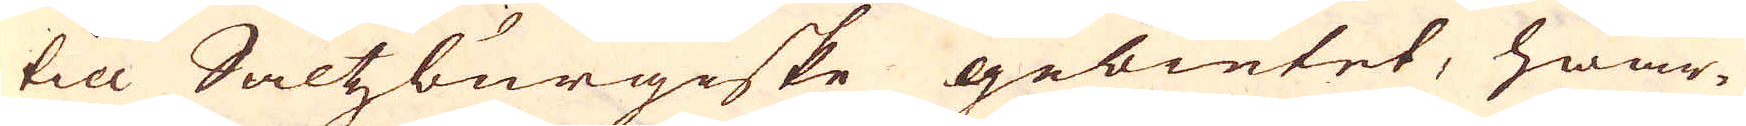till Saltzburgiske gebietet, hwar-
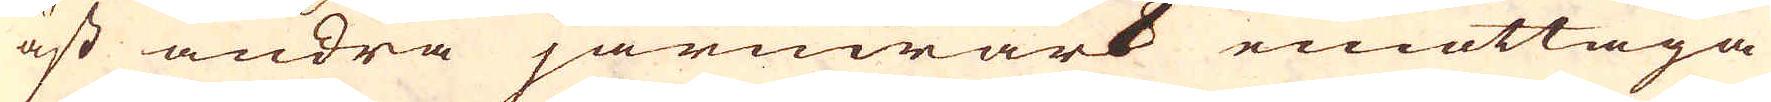äst andra järnwärk emottaga
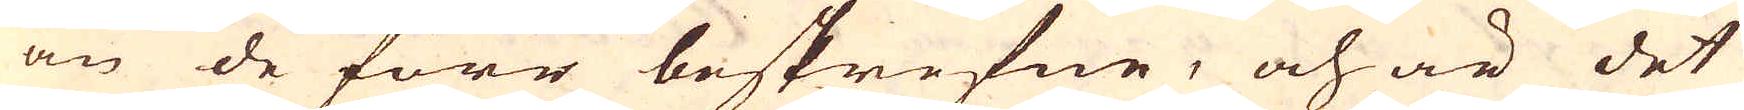än de förr beskrefne, och är det
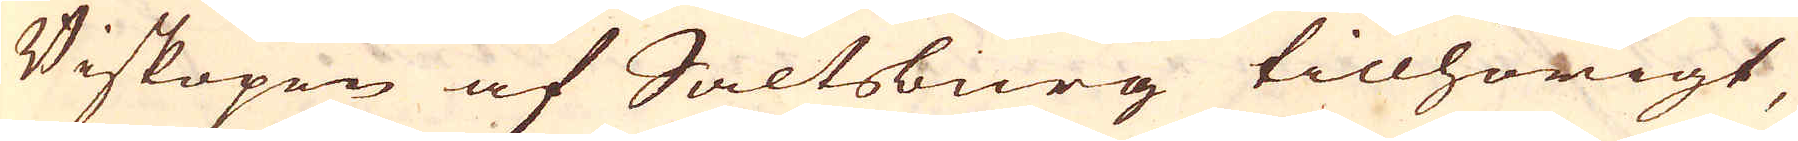Biskopen af Saltsburg tillhörigt,
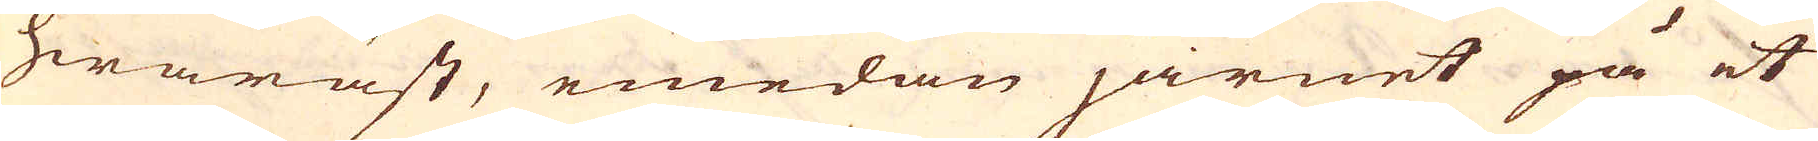hwaräst, emedan järnet på et
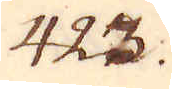423.
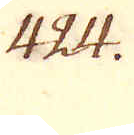424.
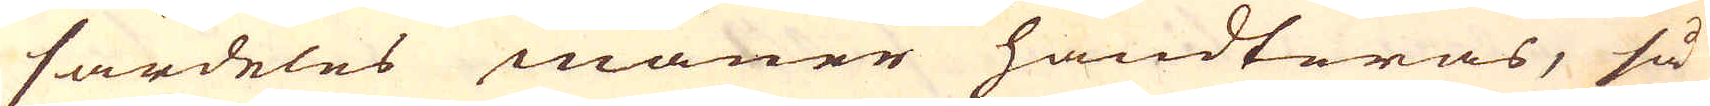särdeles maner handteras, så
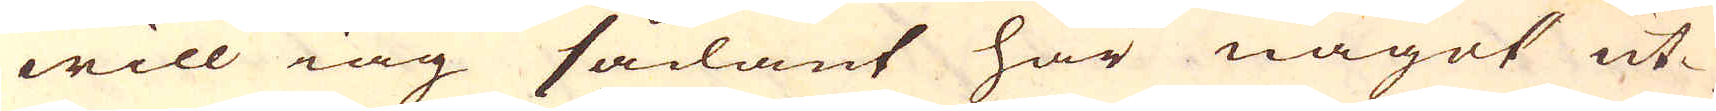will iag sådant här något ut-
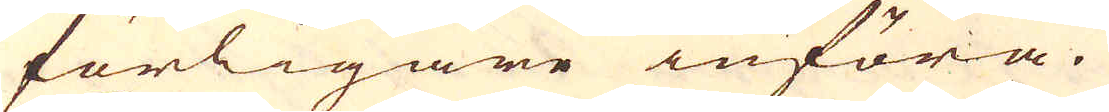förligare införa.
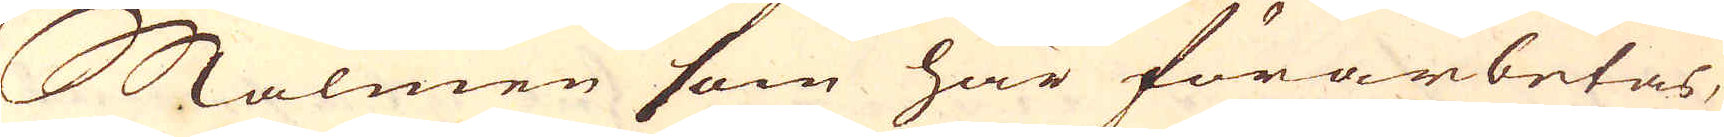Malmen som här förarbetas,
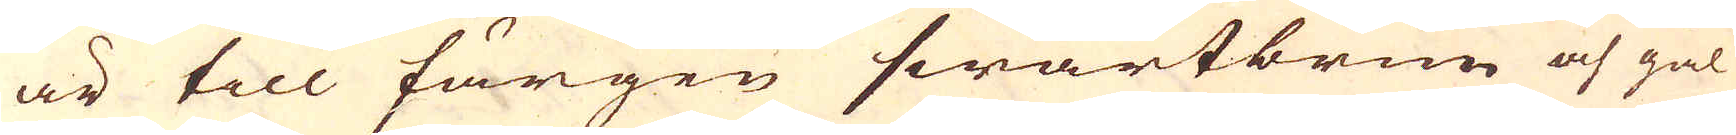är till färgen swartbrun och gul
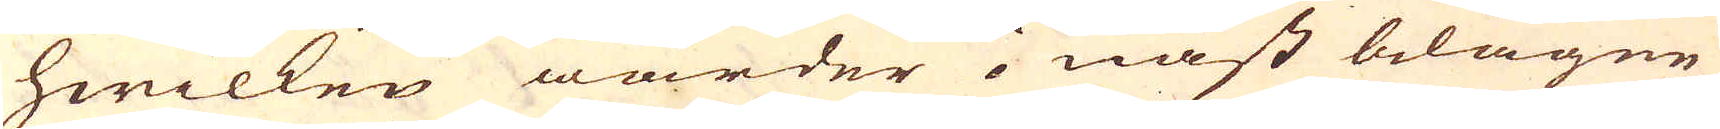hwilken warder i näst belägne
